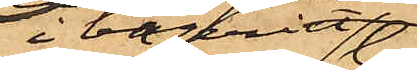i bageriet
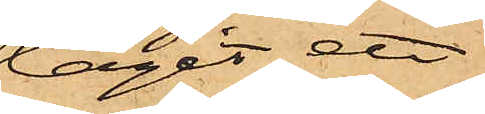tagit ett
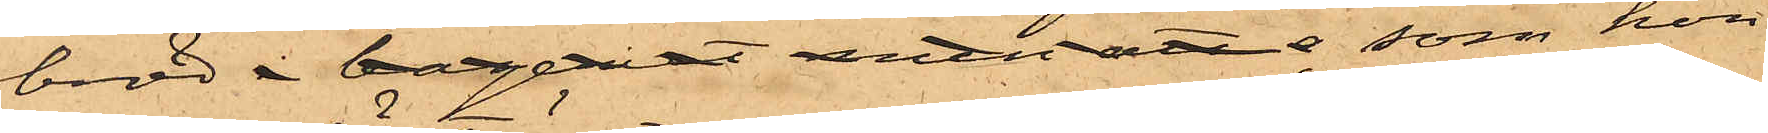bröd i bageriet men att a som hon
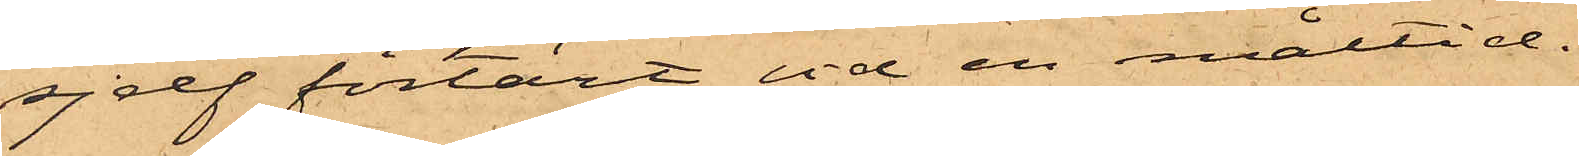sjelf förtärt vid en måltid.
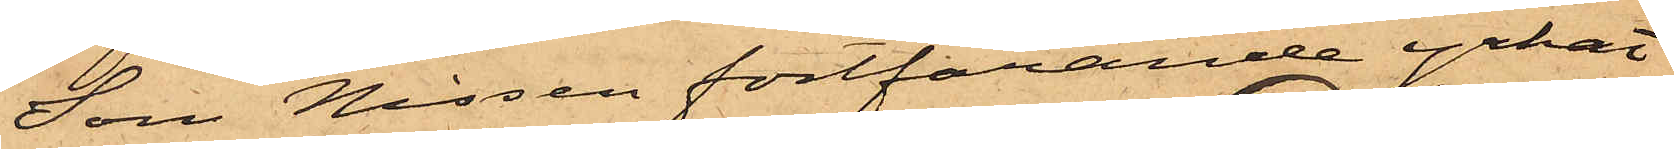Som Nissen fortfarande yrkat
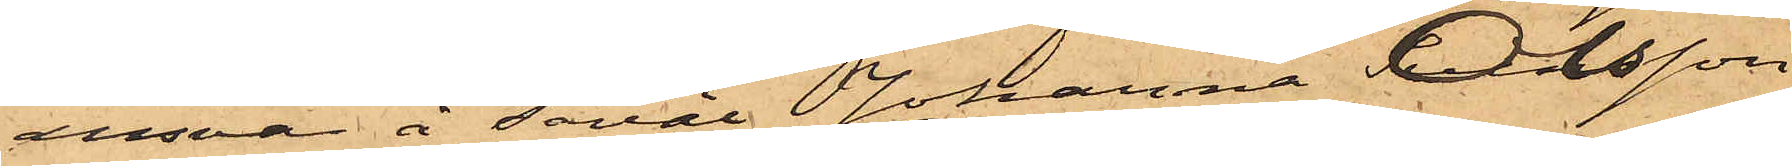ansvar å såväl Johanna Olsson
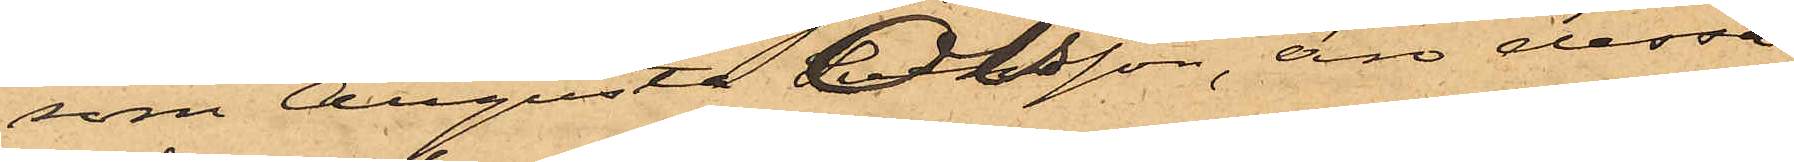som Augusta Olsson, äro dessa
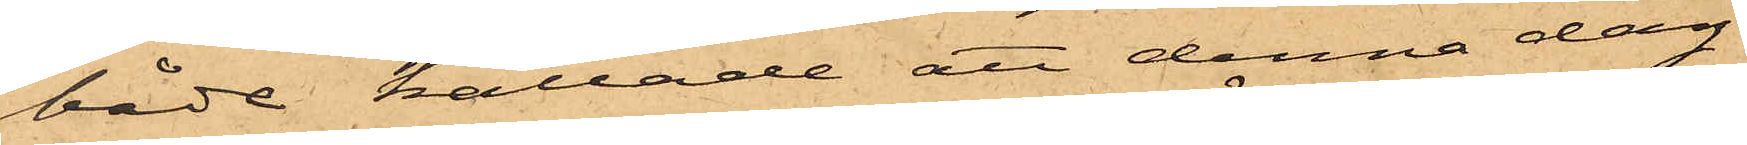båda kallade att denna dag
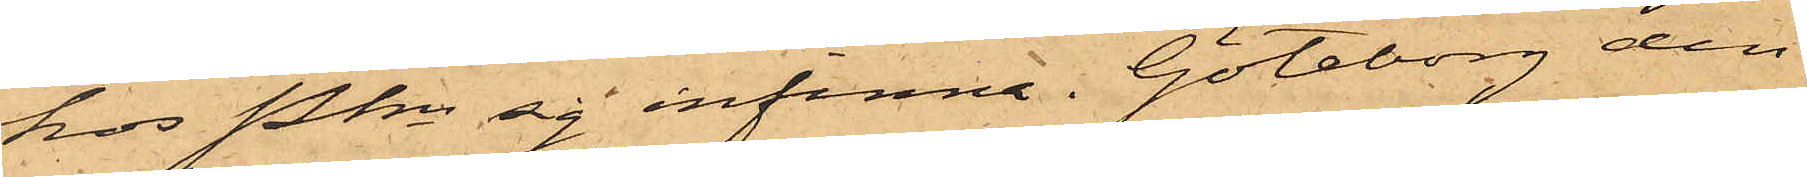hos Pkn sig infinna. Göteborg den
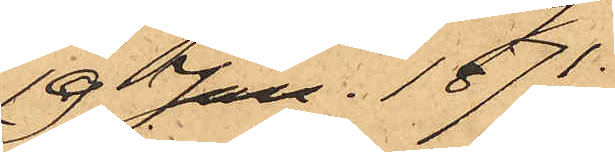19 Jan. 1871.
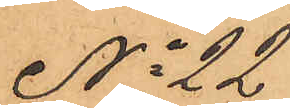No 22
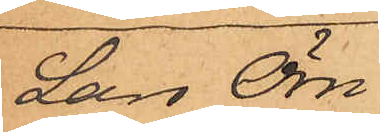Lars Örn.
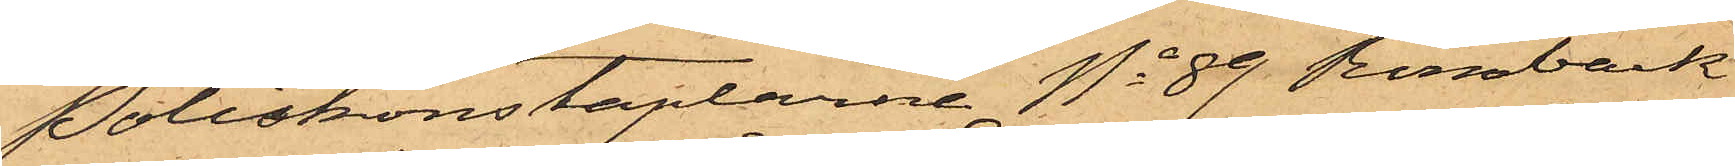Poliskonstaplarne No 89 Rönnbäck
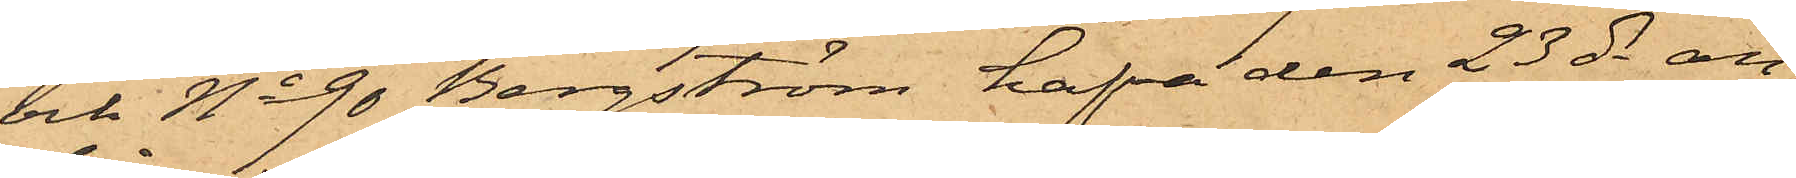och No 90 Bergström hafva den 23 ds an¬
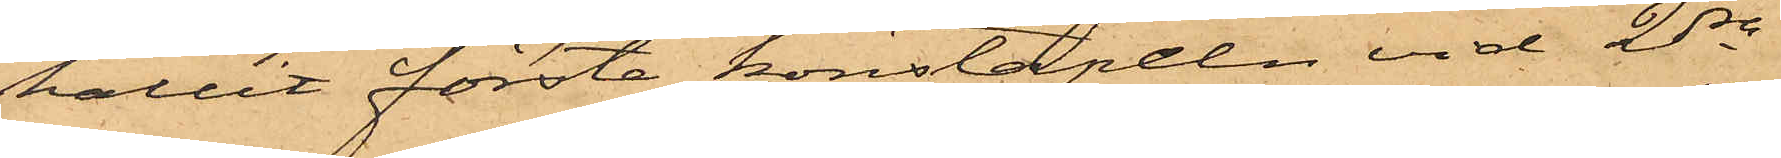hållit förste konstapeln vid 2dra
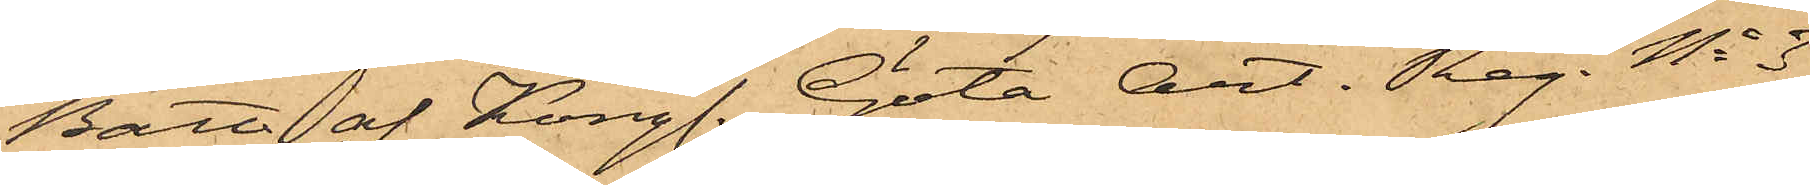Batt. af Kongl. Göta Art. Reg. No 3
